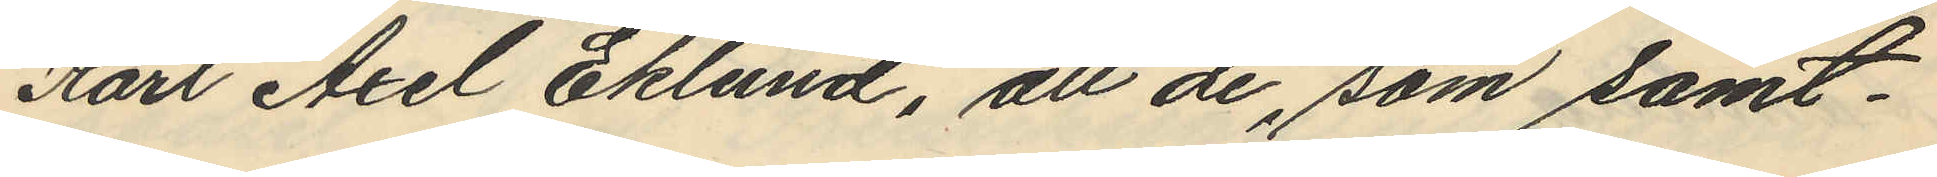Karl Axel Eklund, att de som samt¬
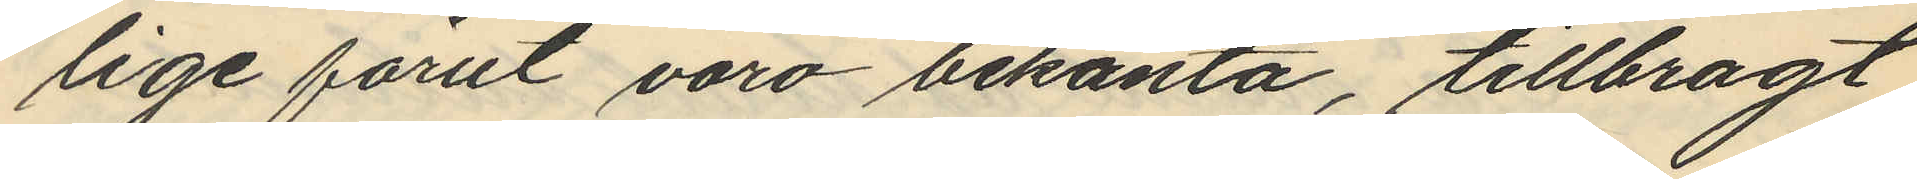lige förut voro bekanta, tillbragt
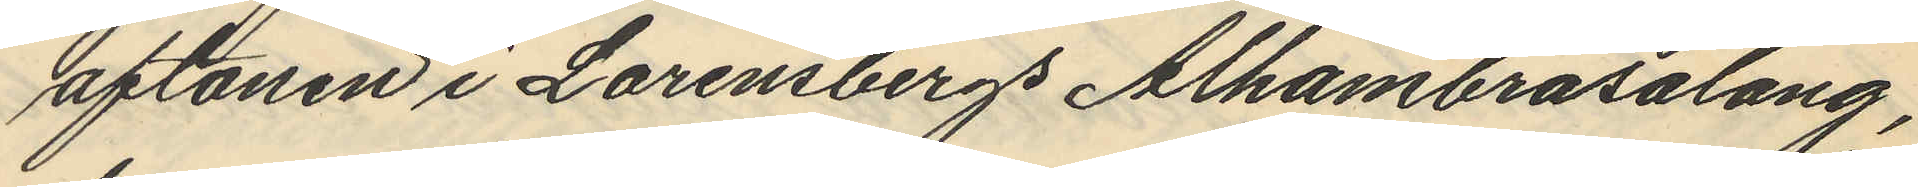aftonen i Lorensbergs Alhambrasalong,
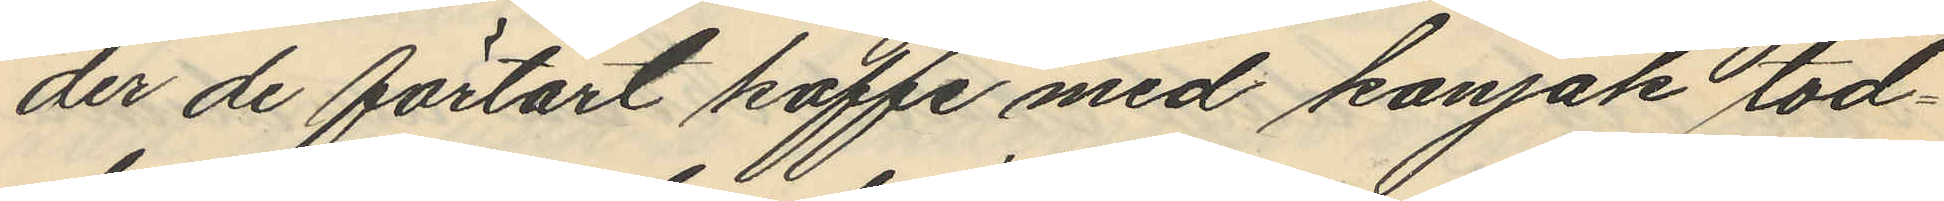der de förtärt kaffe med konjak tod¬
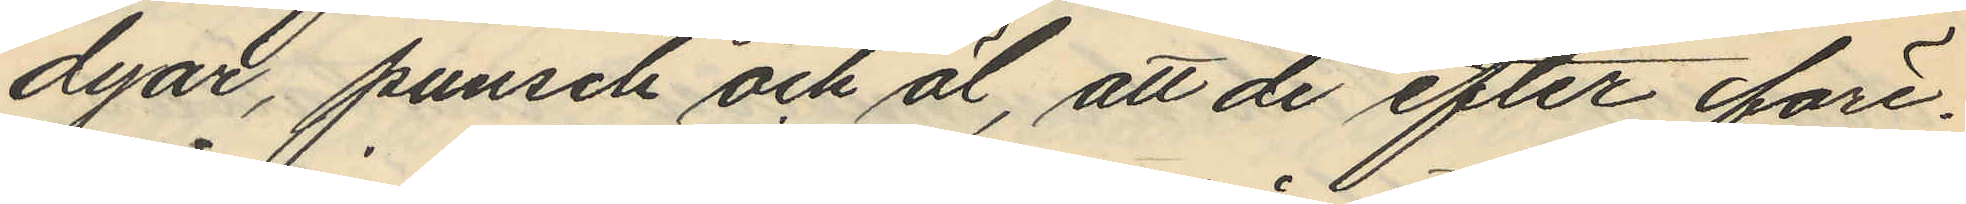dyar, punsch och öl, att de efter före¬
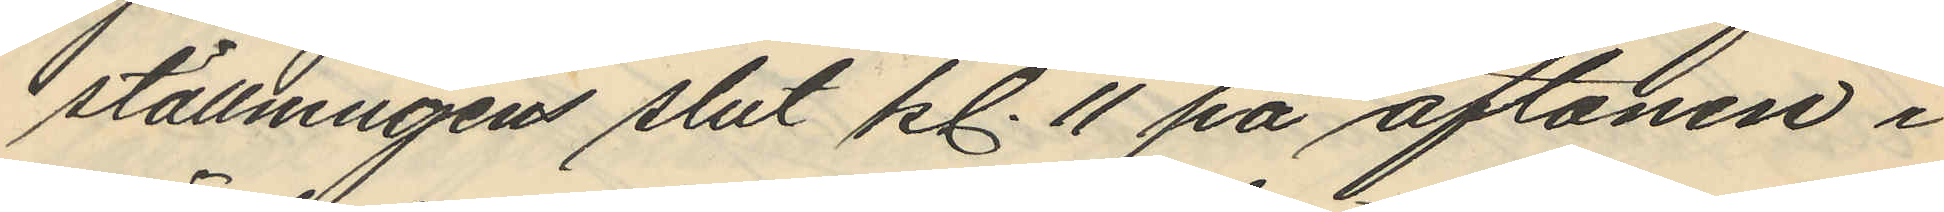ställningens slut kl. 11 på aftonen i
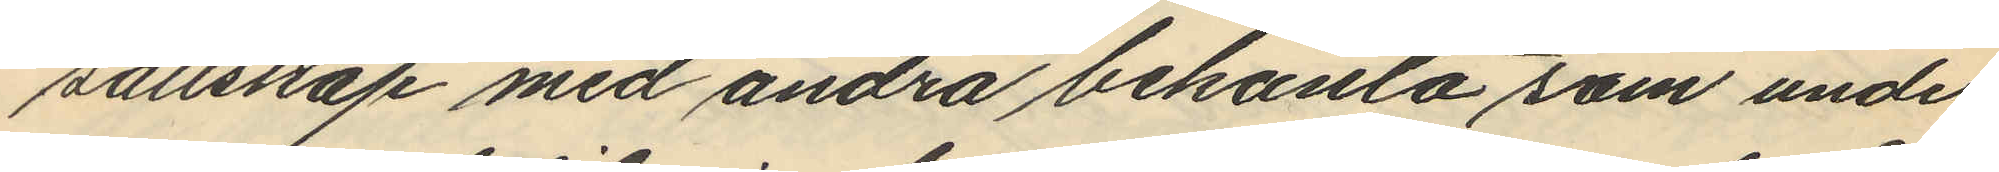sällskap med andra bekanta som under
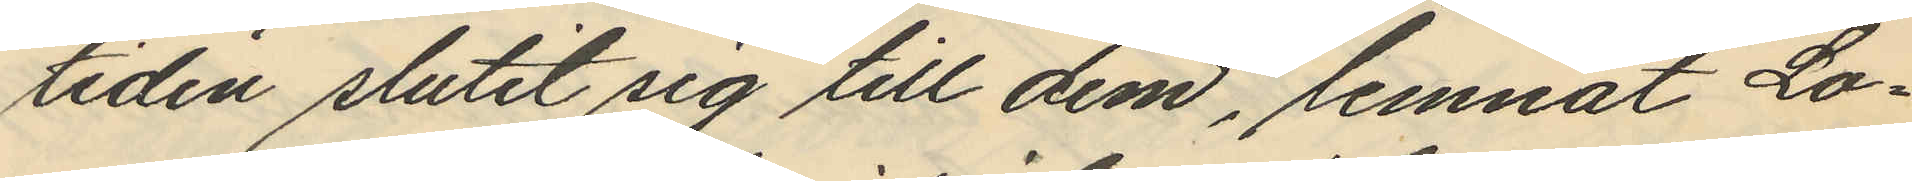tiden slutit sig till dem, lemnat Lo¬
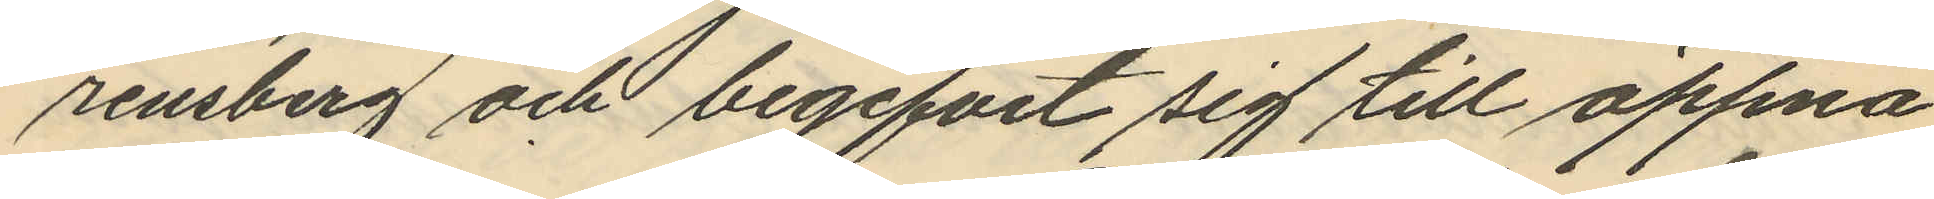rensberg och begifvit sig till öppna
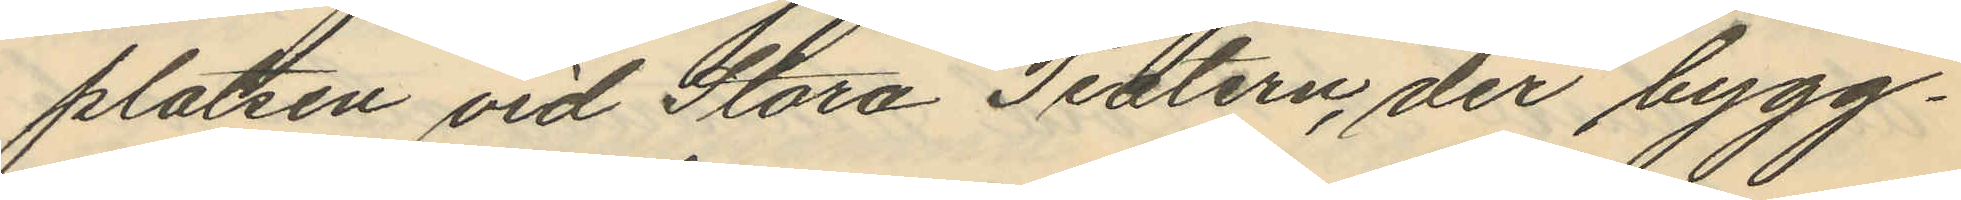platsen vid Stora Teatern, der bygg¬
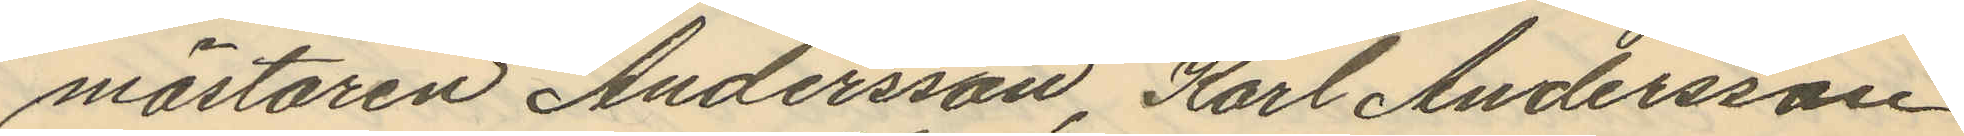mästaren Andersson, Karl Andersson
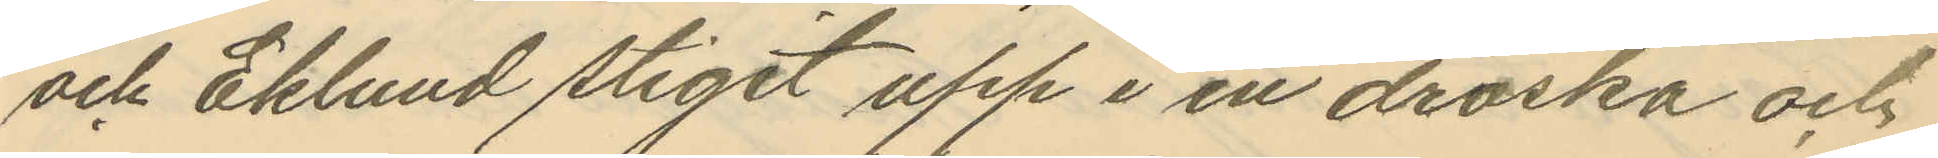och Eklund stigit upp i en droska och
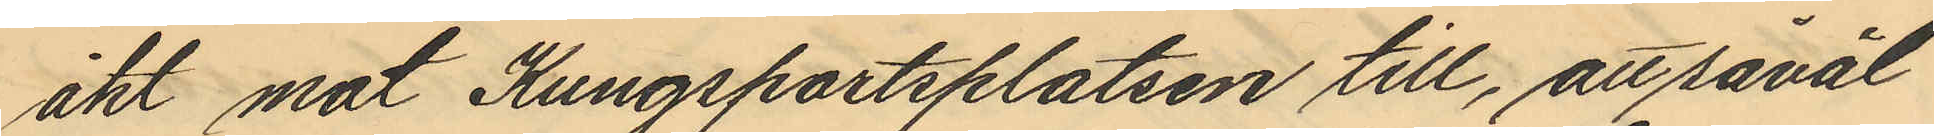åkt mot Kungsportsplatsen till, att såväl
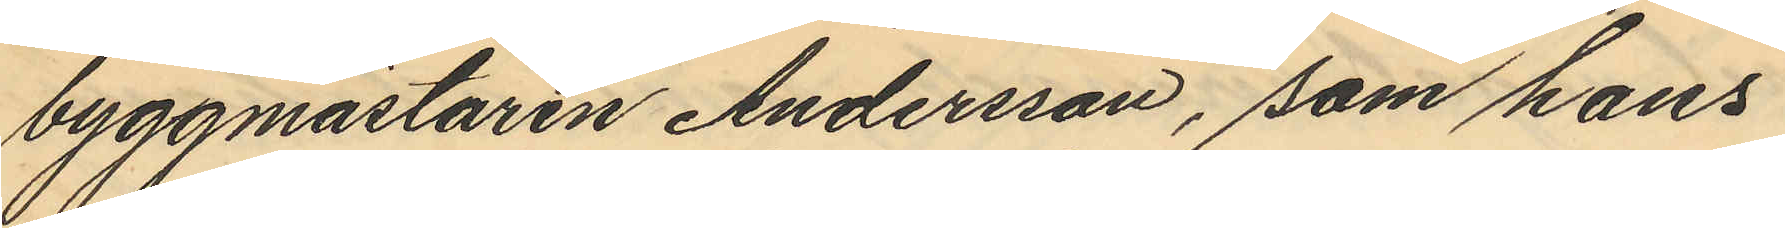byggmästaren Andersson, som hans
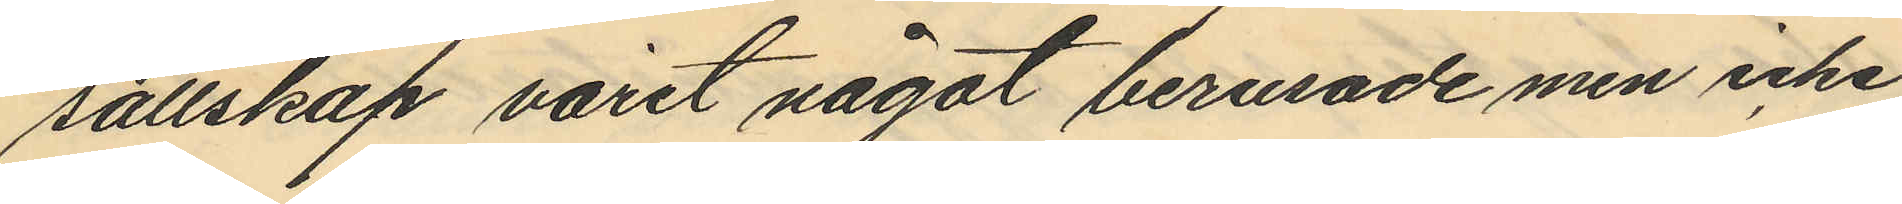sällskap varit något berusade men icke
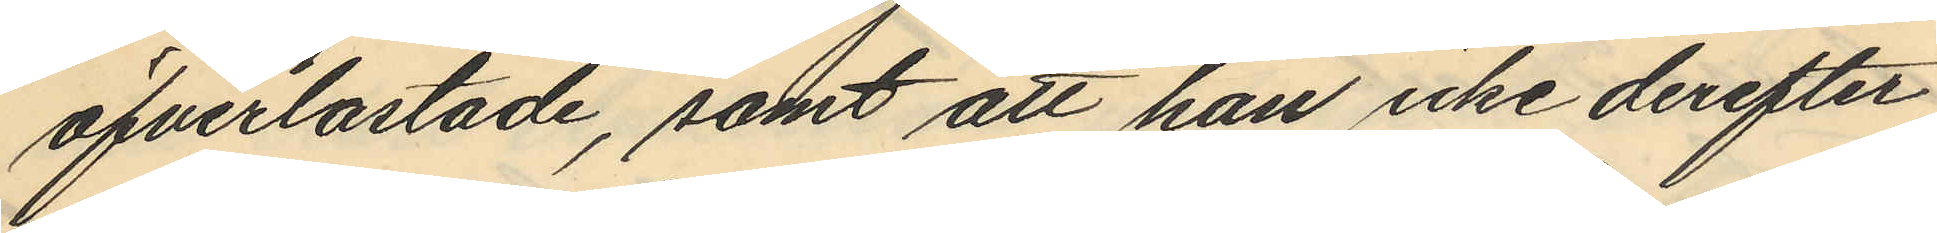öfverlastade, samt att han icke derefter
